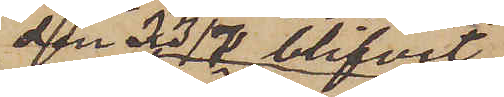den 23/7 blifvit
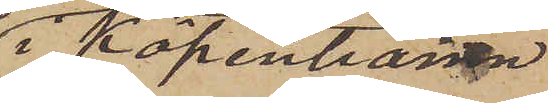i Köpenhamn
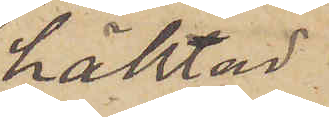häktad
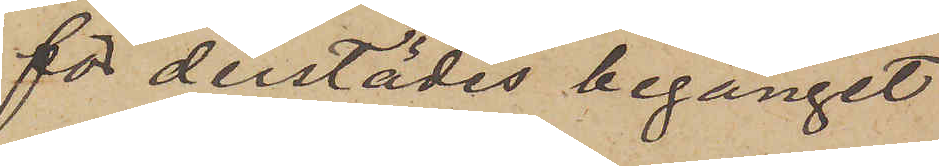för derstädes begånget
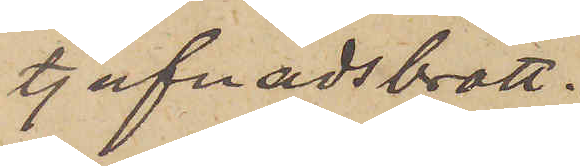tjufnadsbrott.
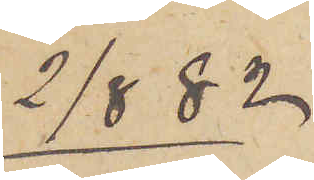2/8  82
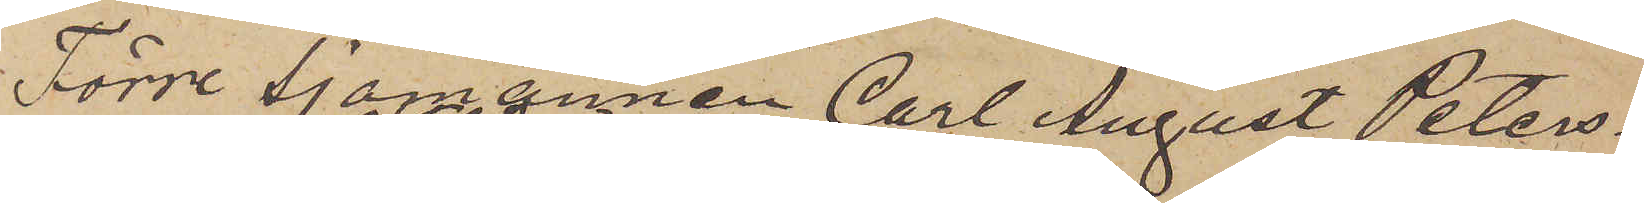Förre Sjömannen Carl August Peters
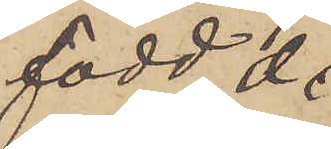född den
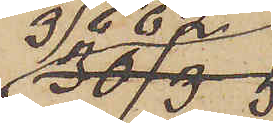3/6 62
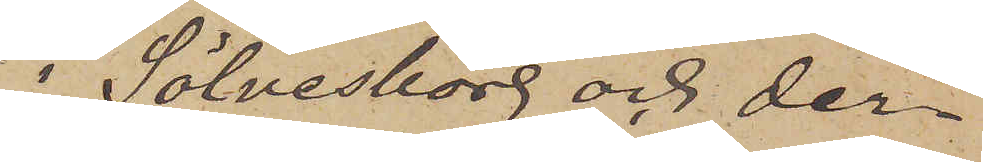i Sölvesborg och der
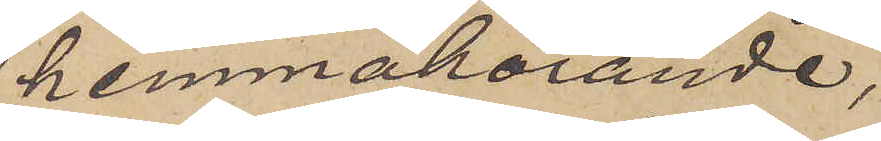hemmahörande;
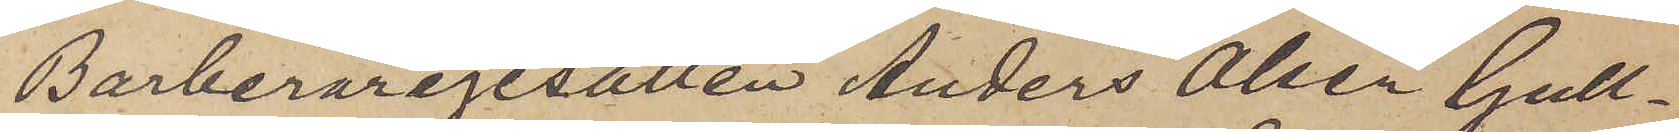Barberaregesällen Anders Olsen Gull¬
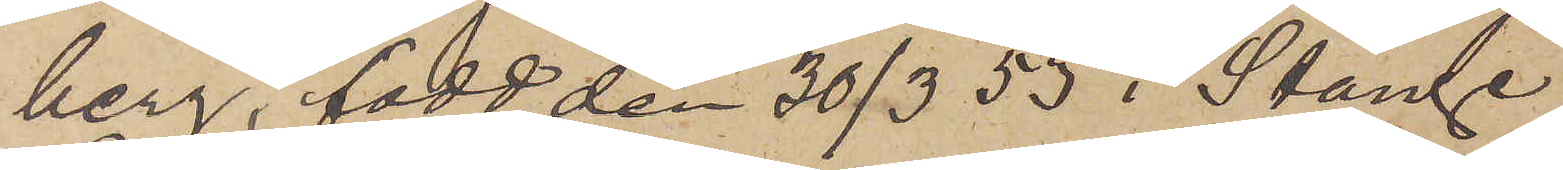berg, född den 30/3 53 i Stange
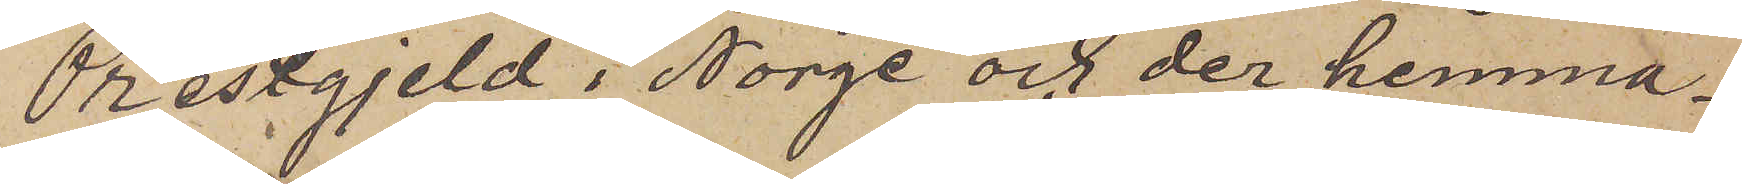Prestgjeld i Norge och der hemma¬
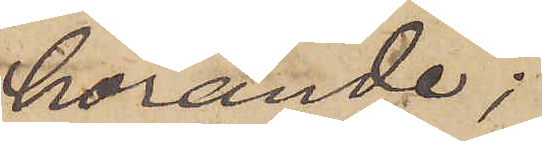hörande;
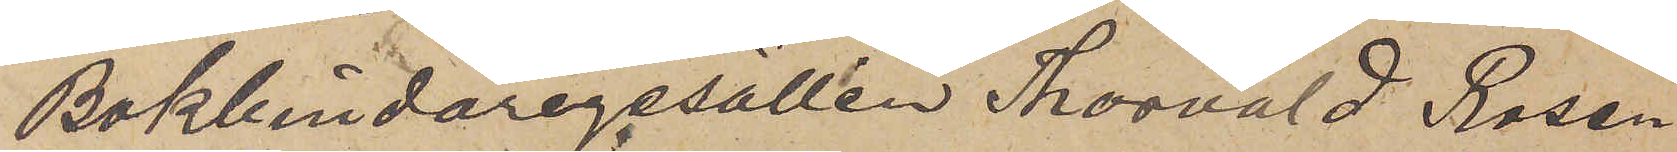Bokbindaregesällen Thorvald Rosen¬
